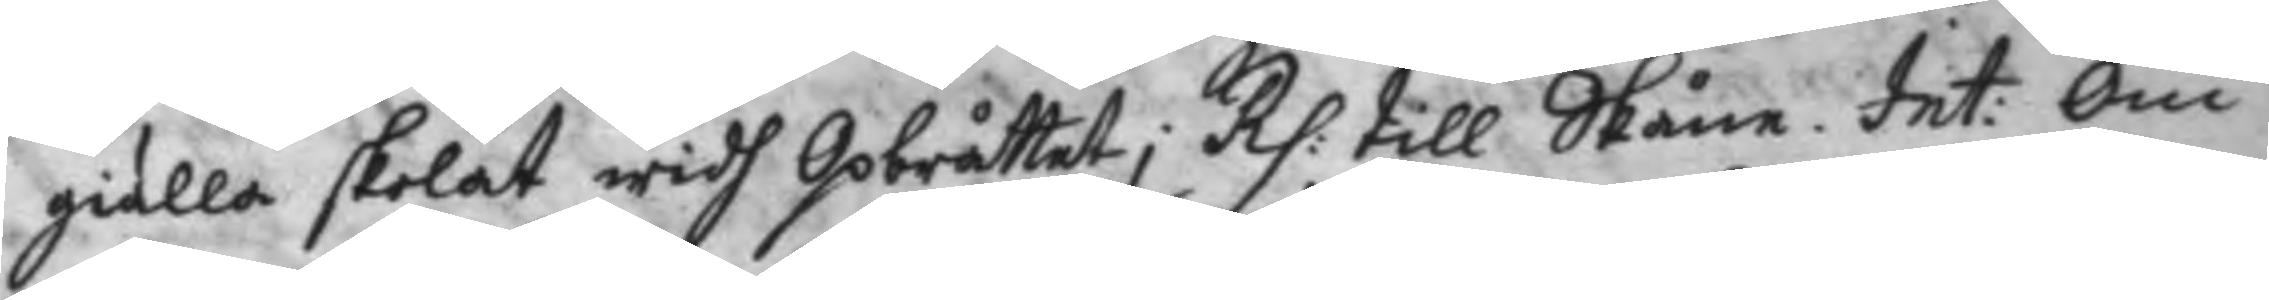giälla skolat widh Opbråttet; Rp: till Skåne, Int: Om
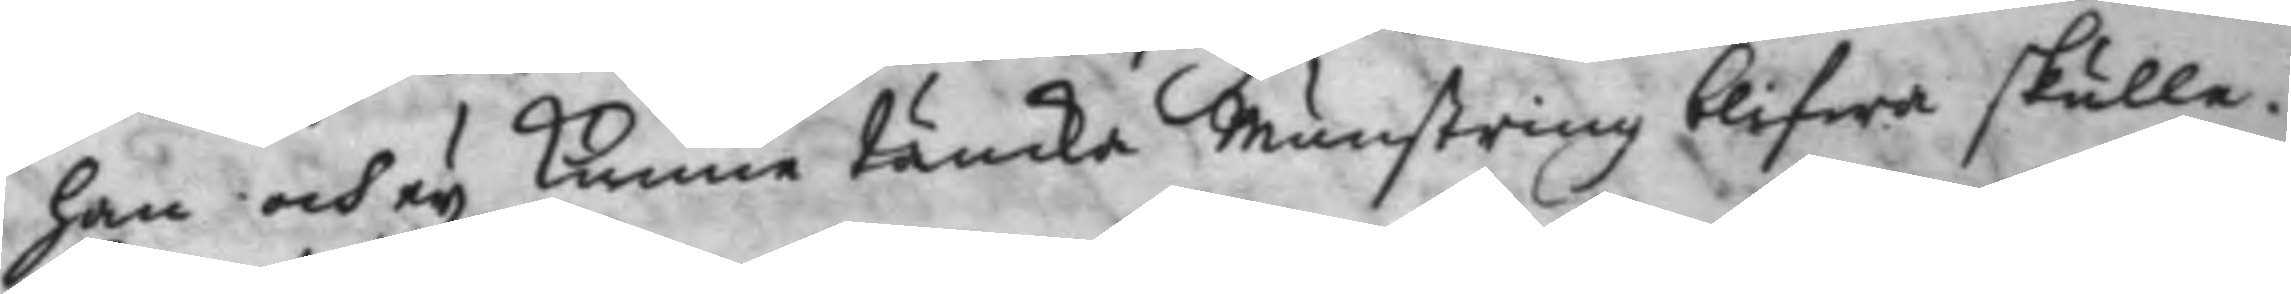han och ey kunne täncka Munstring blifwa skulle.
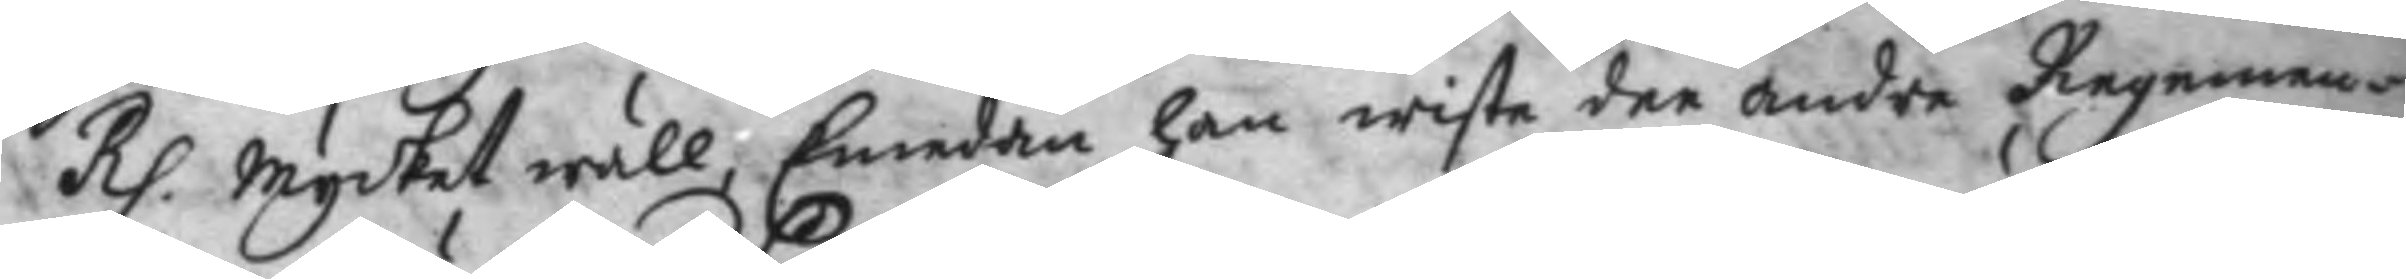Rp. Mycket wäll, Emedan han wiste dee andre Regemen¬
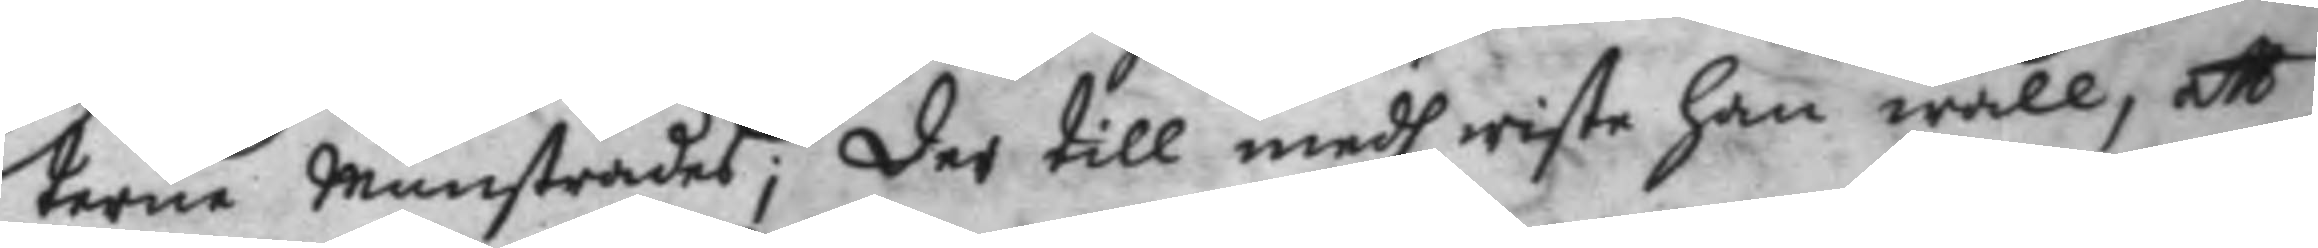terne Munstrades; der till medh wiste han wäll, att
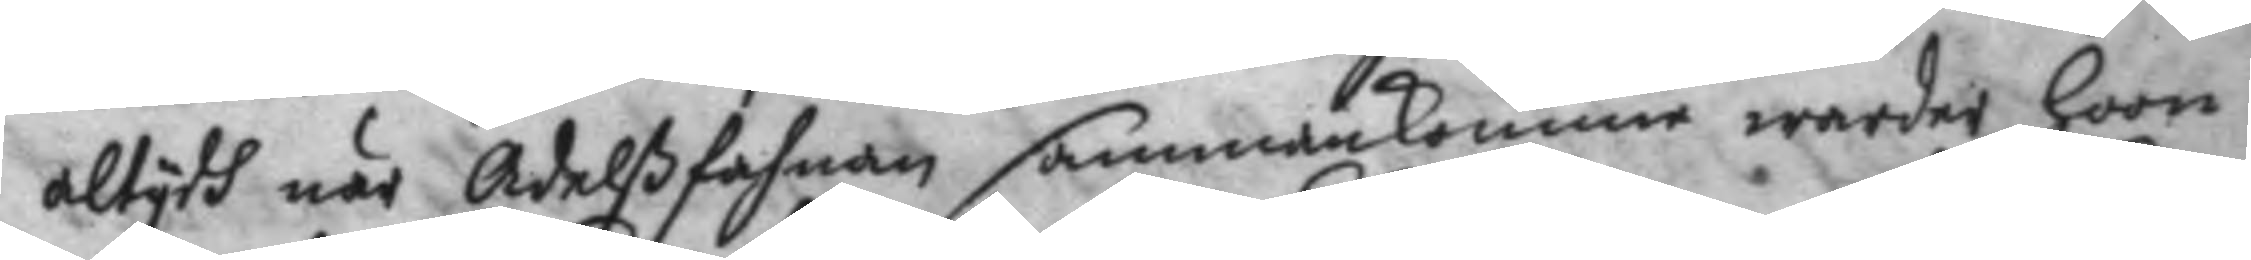altydh när Adelßfahnan sammankommo warder hoon
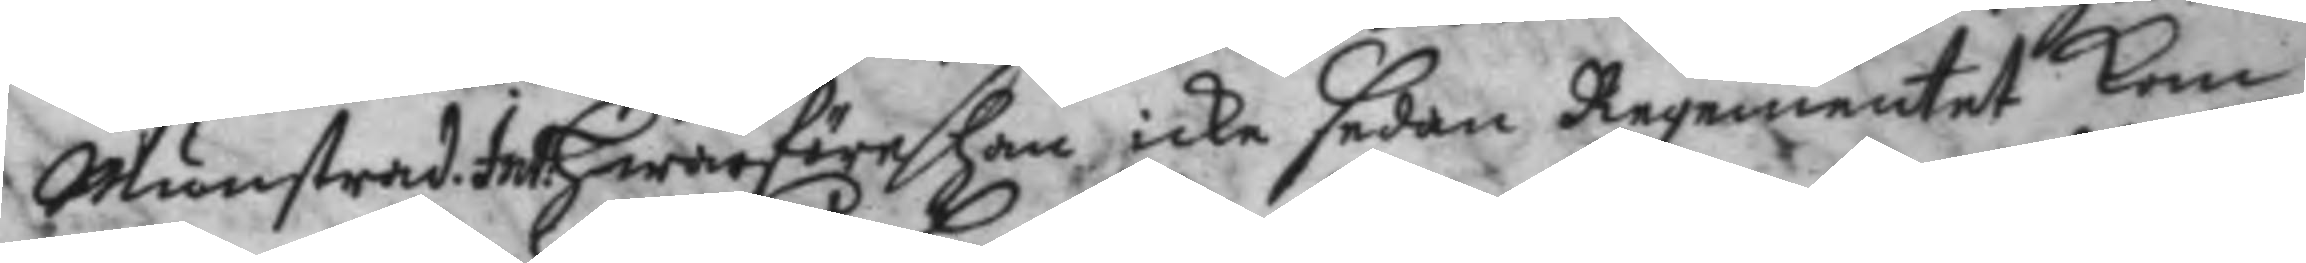Munstrad. Int. Hwarföre han icke sedan Regementet kom
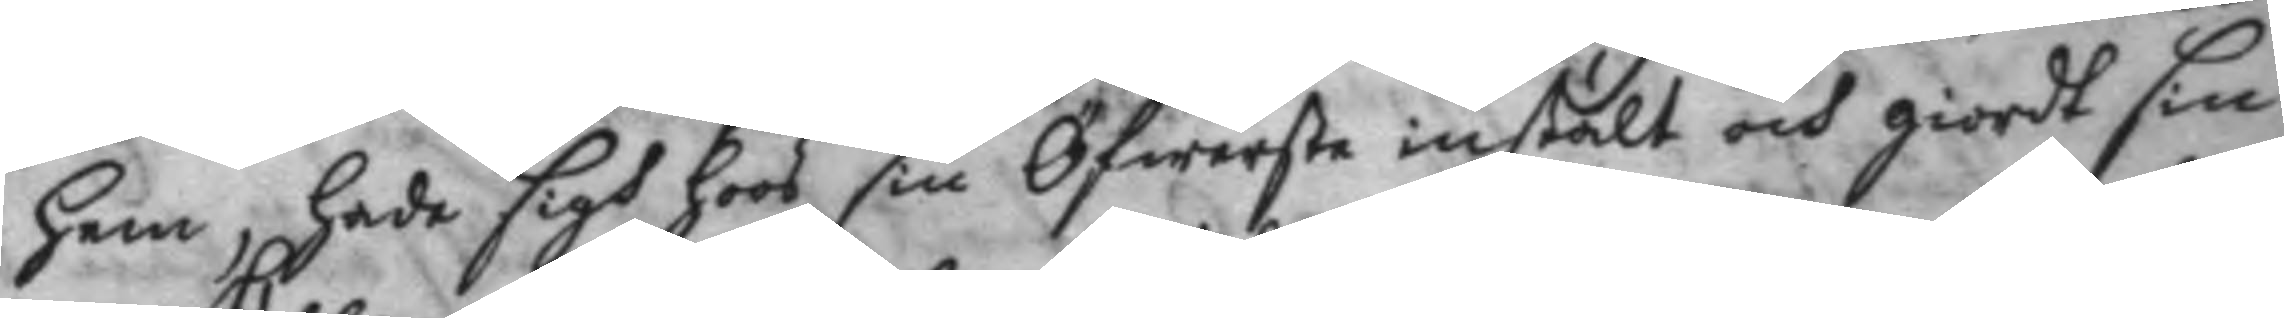hem, hade sigh hoos sin Öfwerste instält och giordt sin
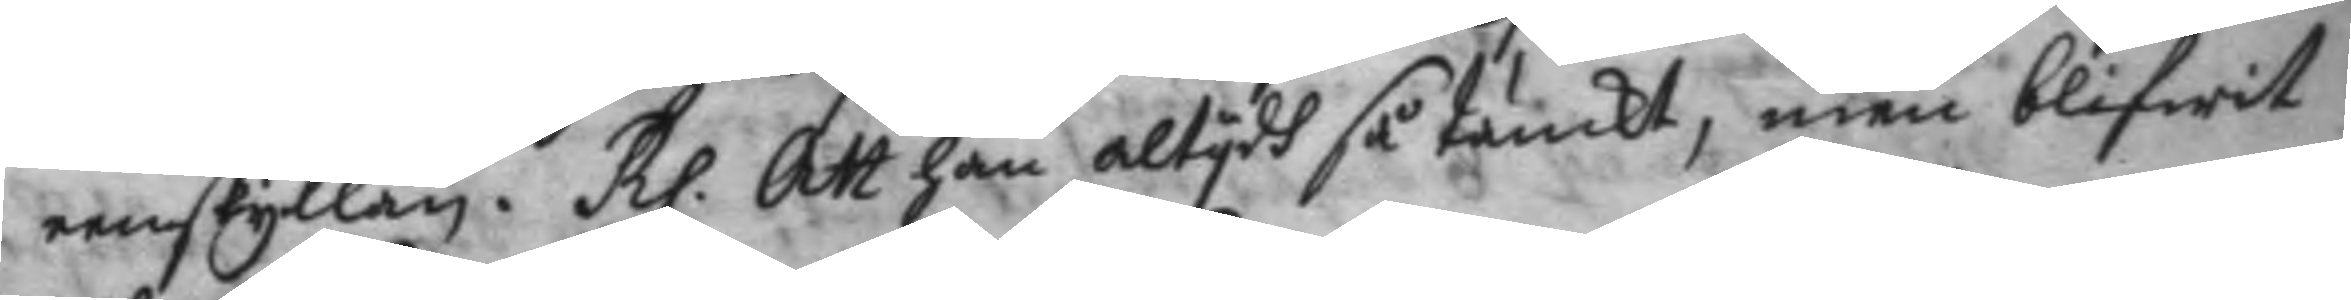eenskyllan. Rp. Att han altydh så tänkt, men blifwit
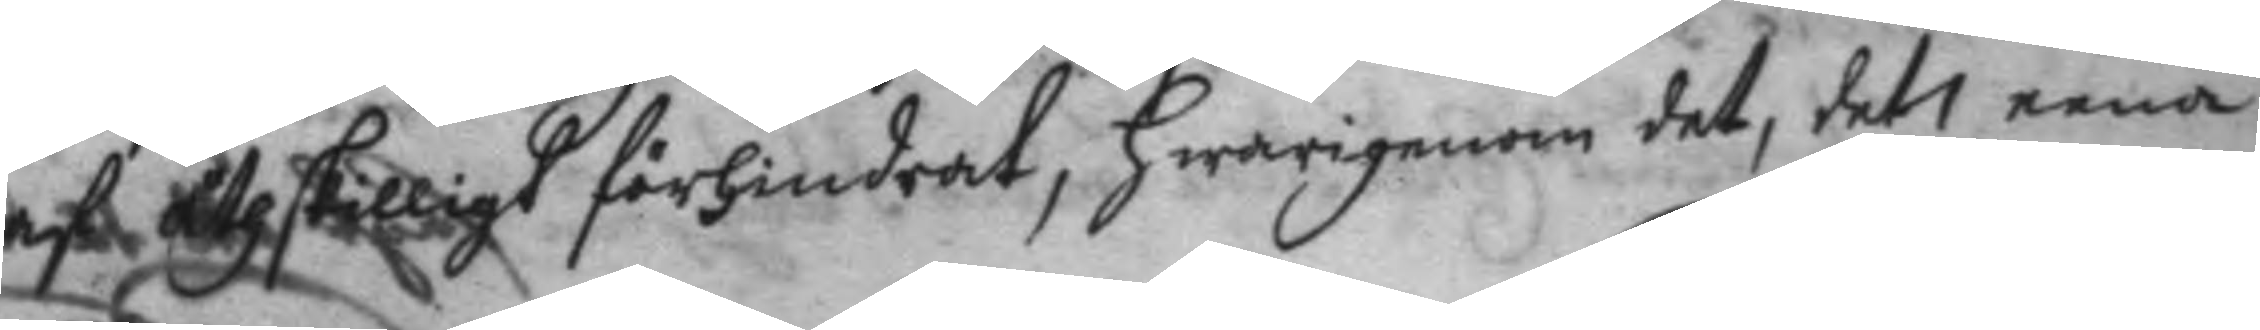af åthskilligt förhindrat, hwarigenom det, det eena
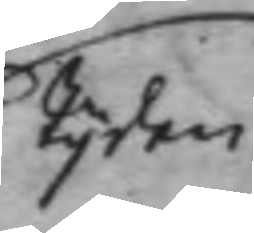tyden
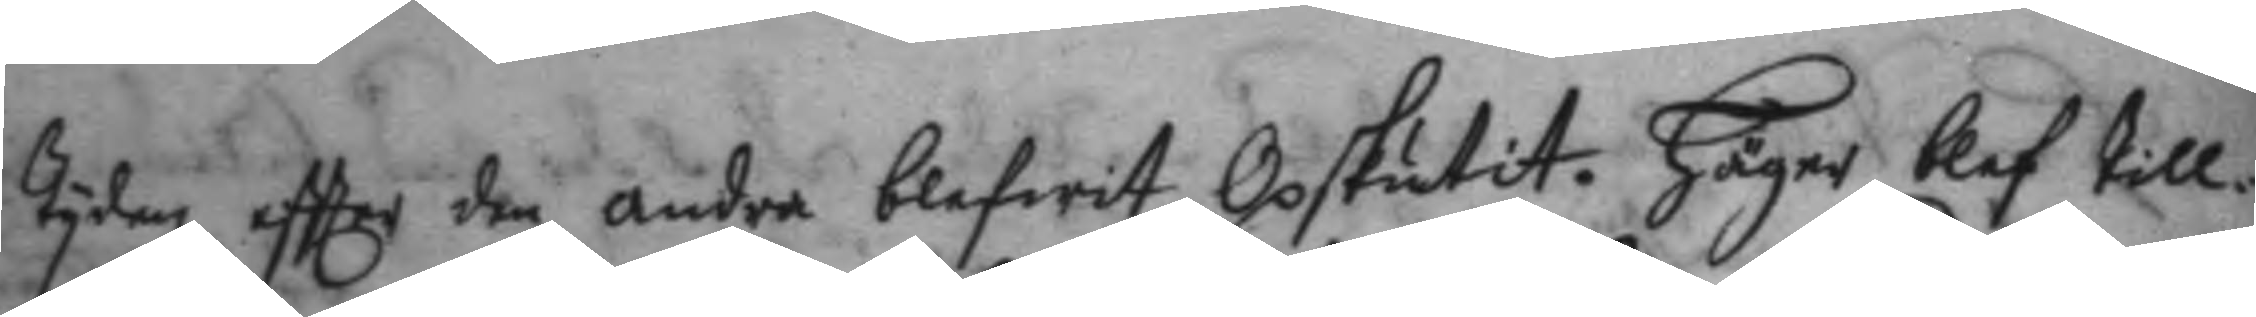tyden effter den andra blifwit Opskutit. Häger blef till¬
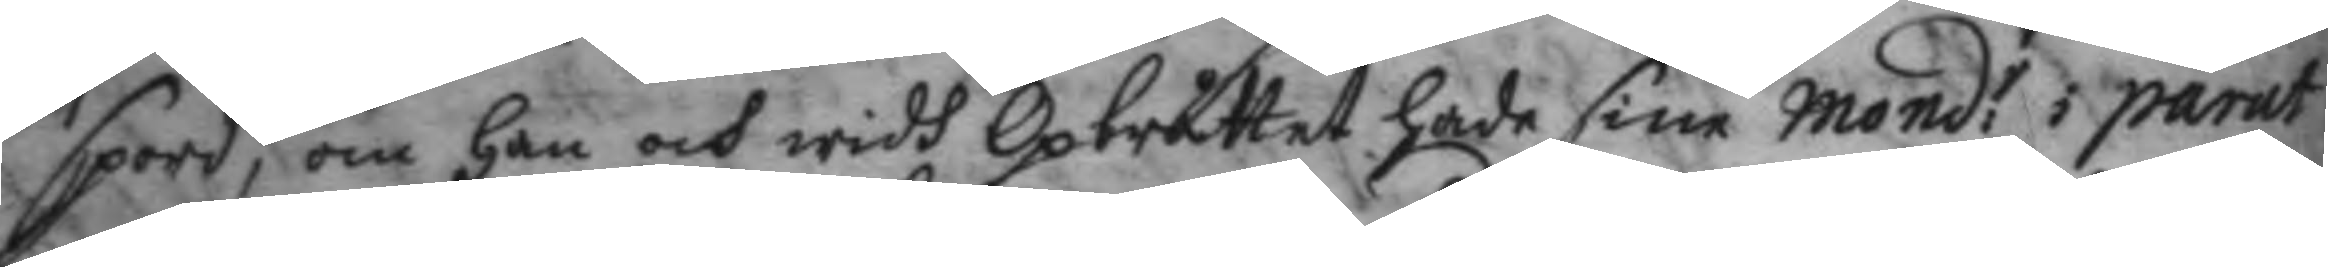spord, om han och widh Opbråttet hade sine Mond:r i parat
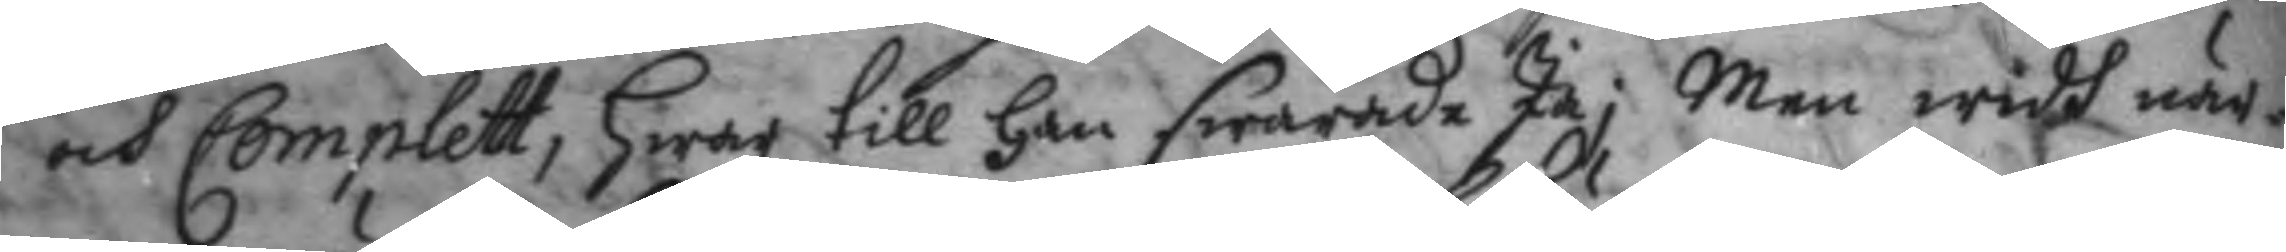och Complett, hwar till han swarade Ja; Men widh när¬
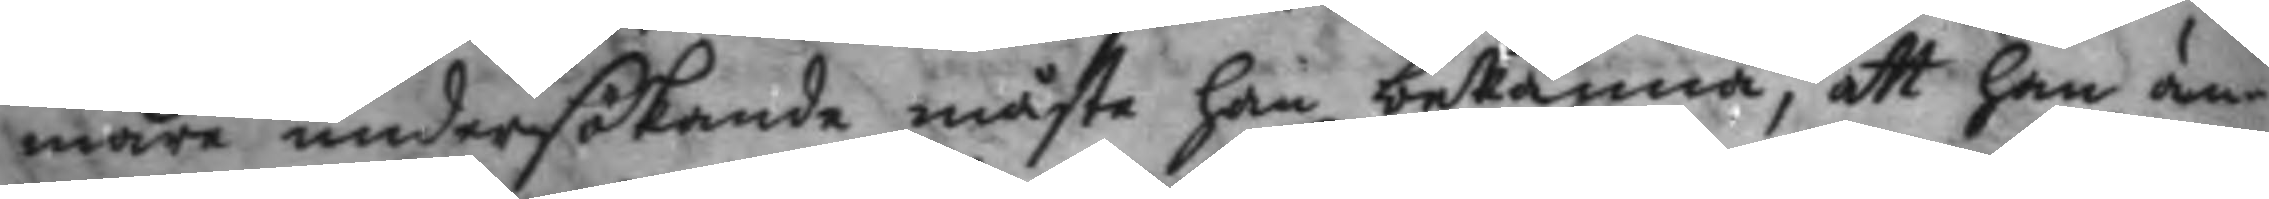mare undersökande måste han bekänna, att han än¬
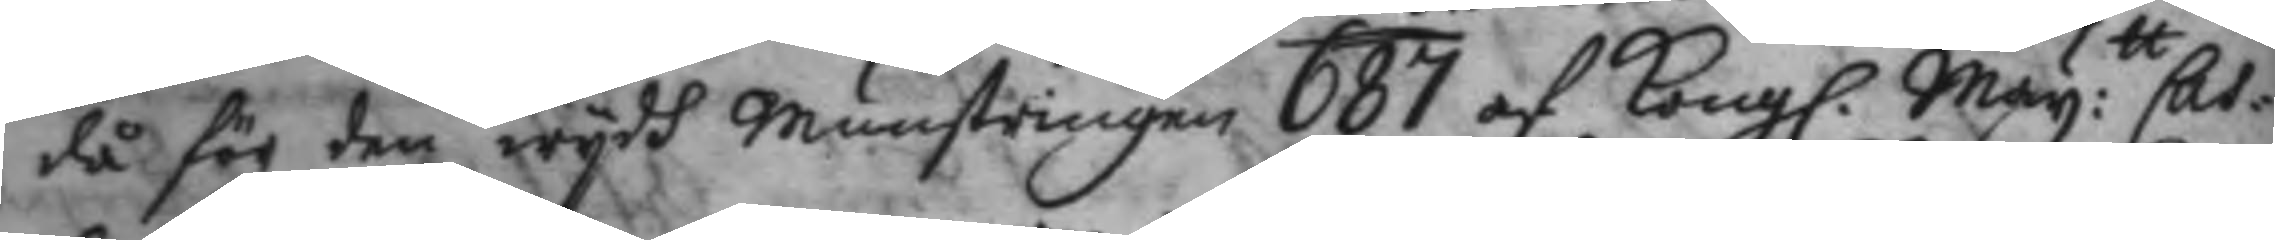då för den wydh Munstringen 687 af Kong. May:tt Cas¬ 
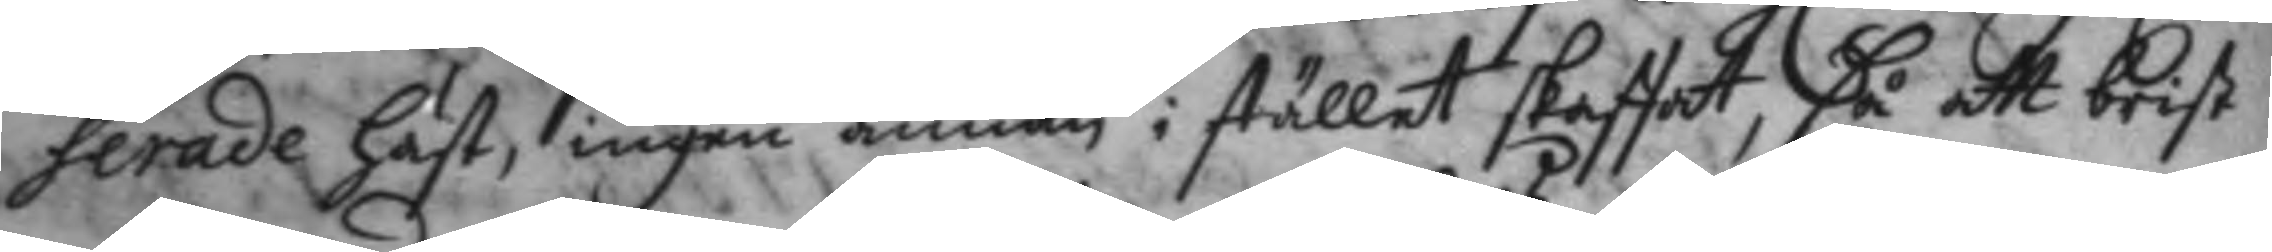serade häst, ingen annan i stället skaffat, så att brist
